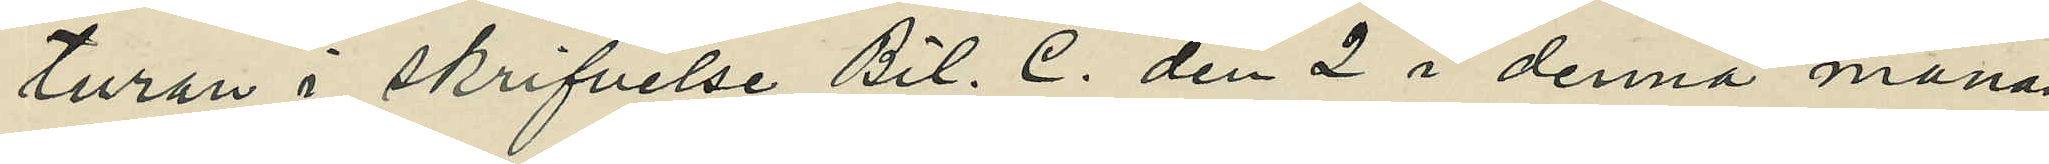turan i skrifvelse Bil. C. den 2 i denna månad
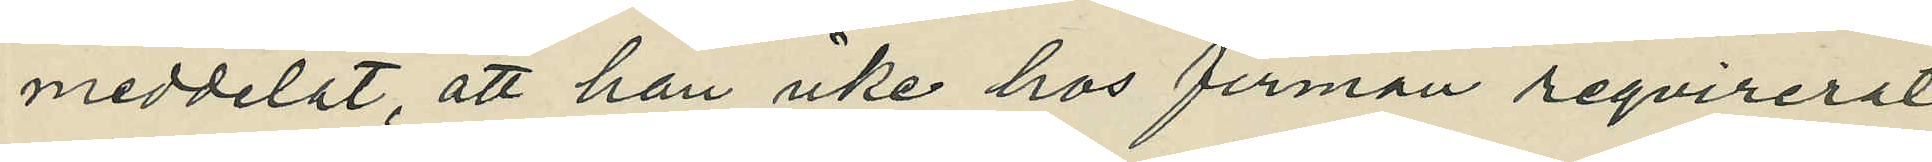meddelat, att han icke hos firman reqvirerat
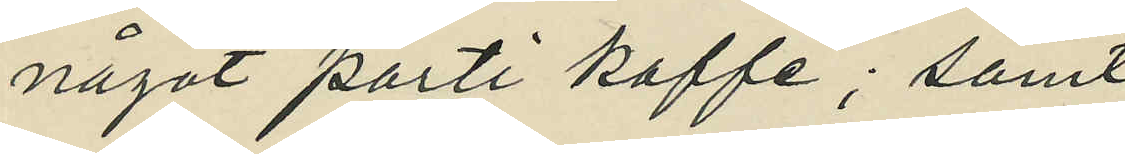något parti kaffe; samt
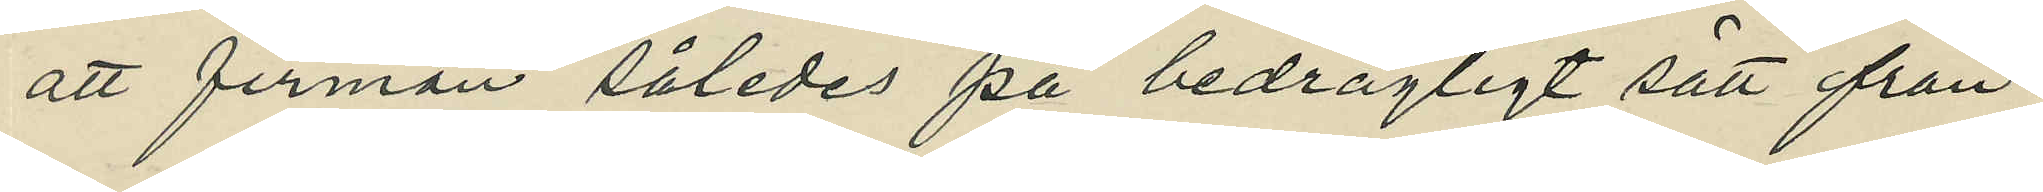att firman således på bedrägligt sätt från¬
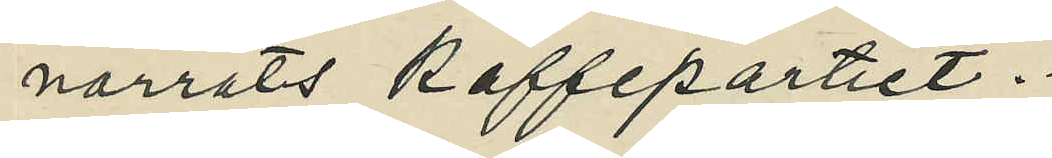narrats kaffepartiet.
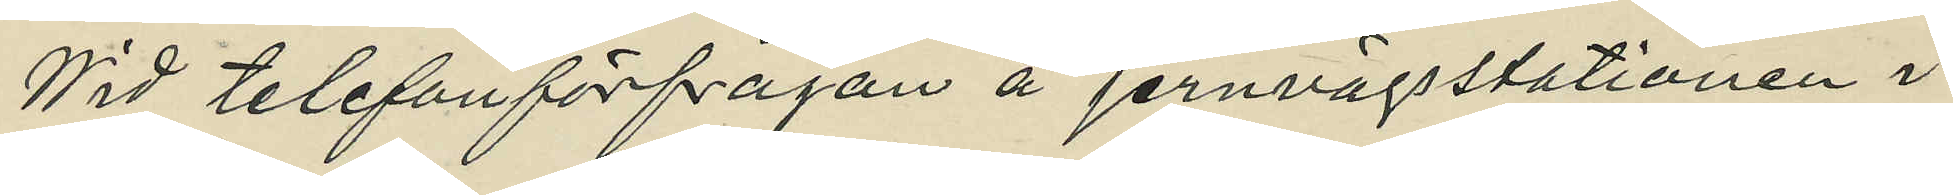Vid telefonförfrågan å jervägsstationen i
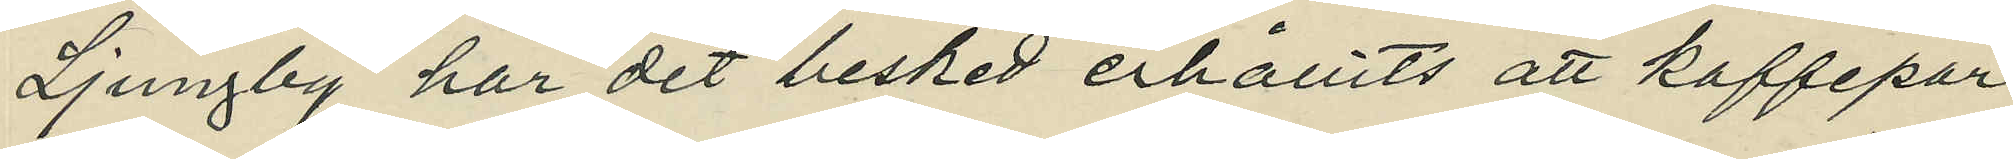Ljungby har det besked erhållits att kaffepar¬
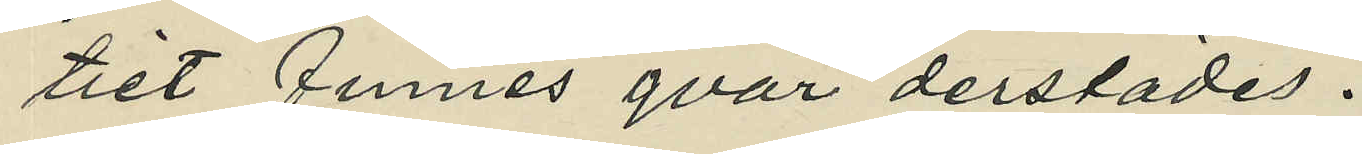tiet finnes qvar derstädes.
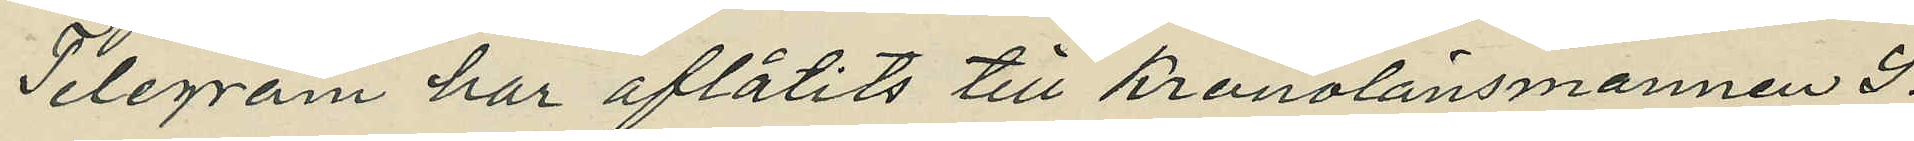Telegram har aflåtits till kronolänsmannen S.
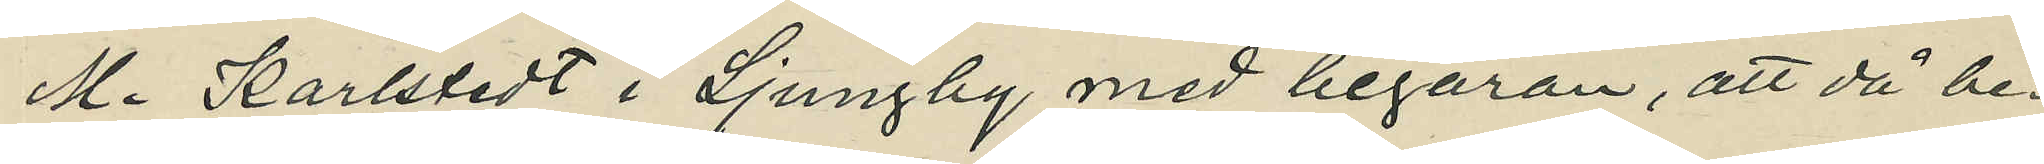M. Karlstedt i Ljungby med begäran, att då be¬
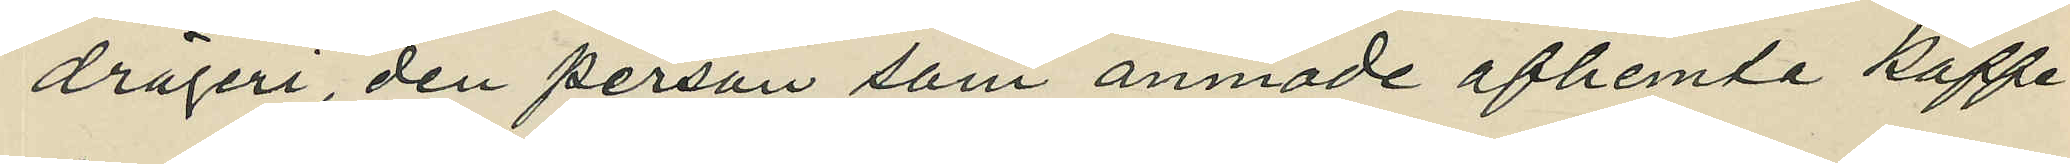drägeri, den person som ämnade afhemta kaffe¬
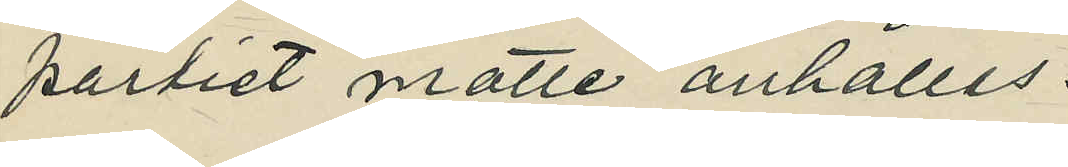partiet måtte anhållas.
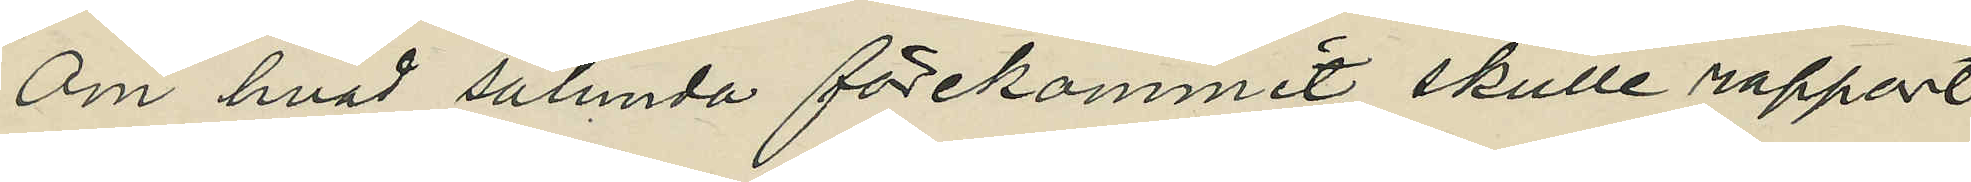Om hvad sålunda förekommit skulle rapport
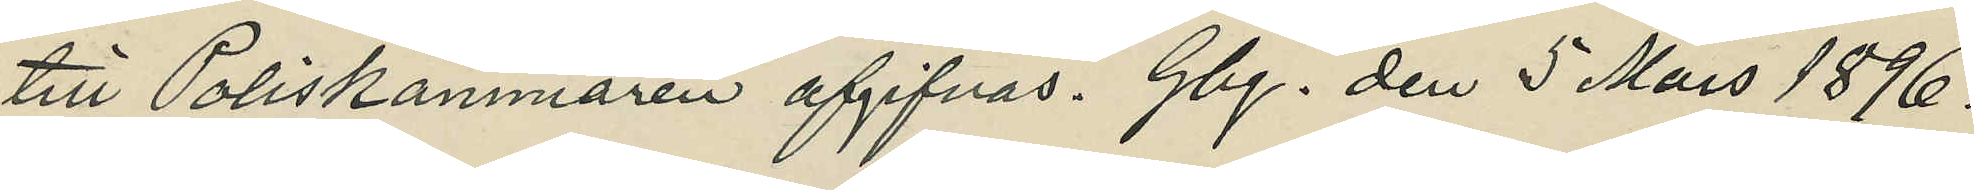till Poliskammaren afgivits. Gbg. den 5 Mars 1896.
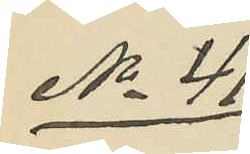No 41
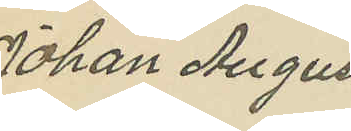Johan August
